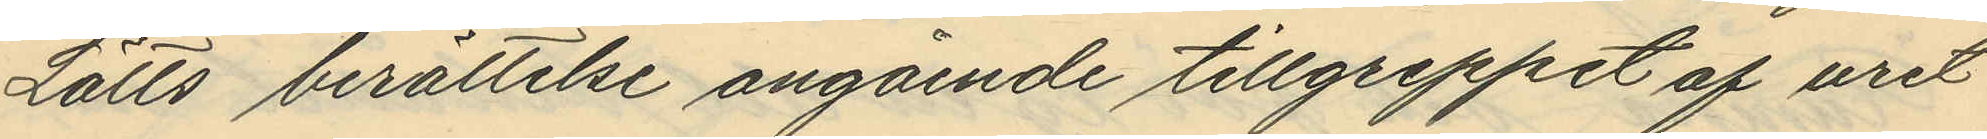Lätts berättelse angående tillgreppet af uret
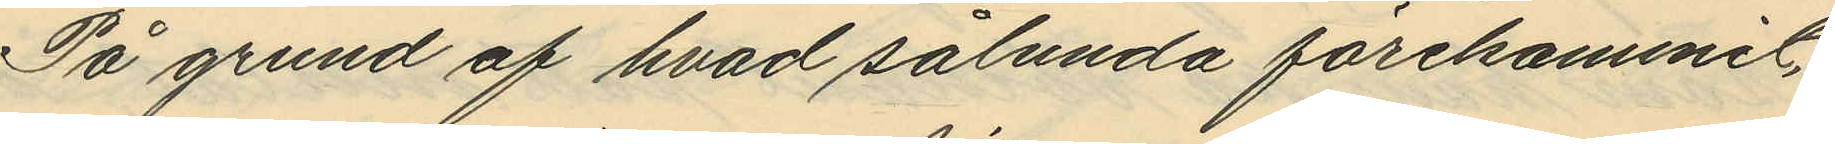På grund af hvad sålunda förekommit,
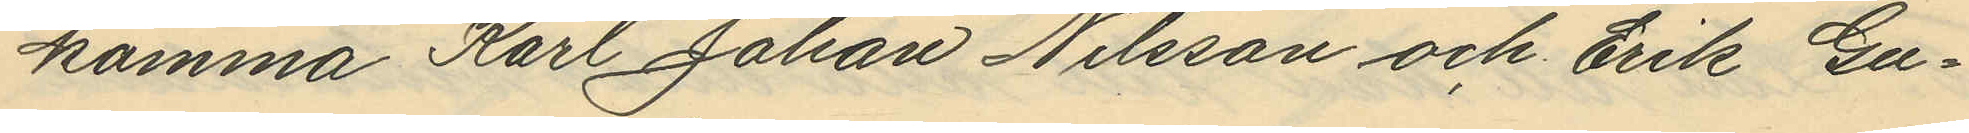komma Karl Johan Nilsson och Erik Gu¬
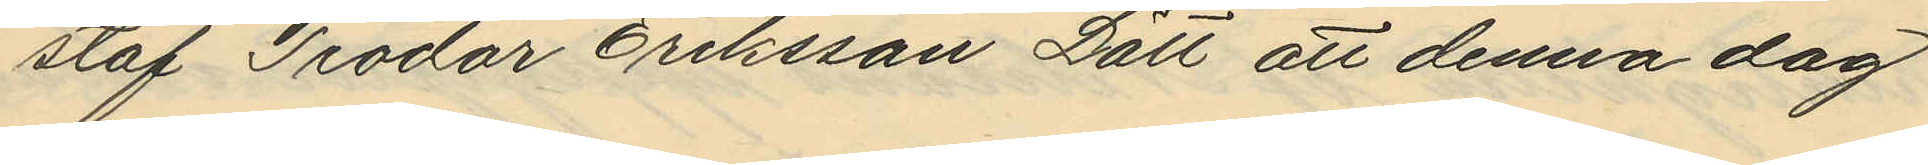staf Teodor Eriksson Lätt att denna dag
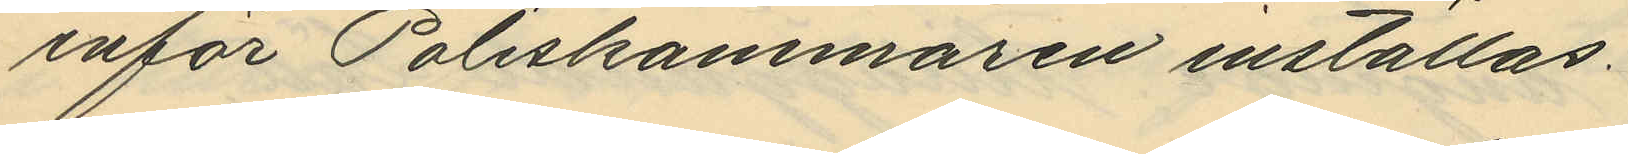inför Poliskammaren inställas.
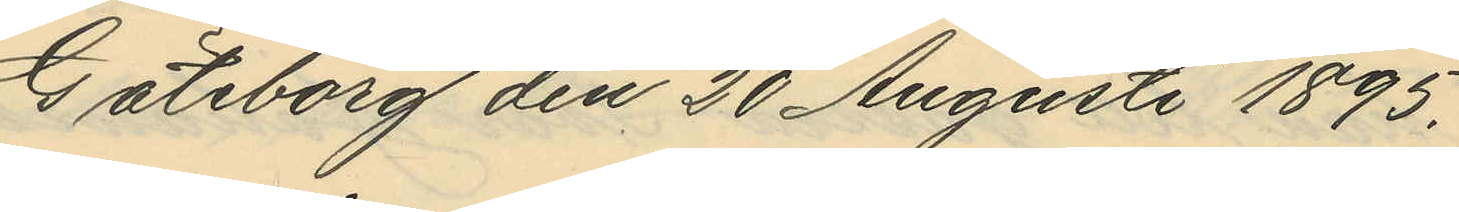Göteborg den 20 Augusti 1895.
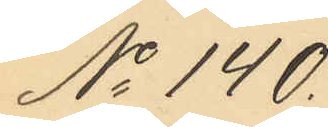No 140.
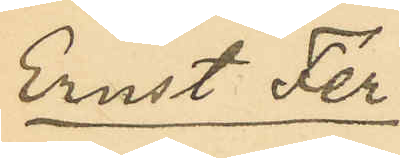Ernst Fer¬
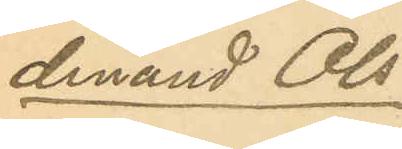dinand Ols¬
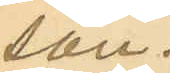son.
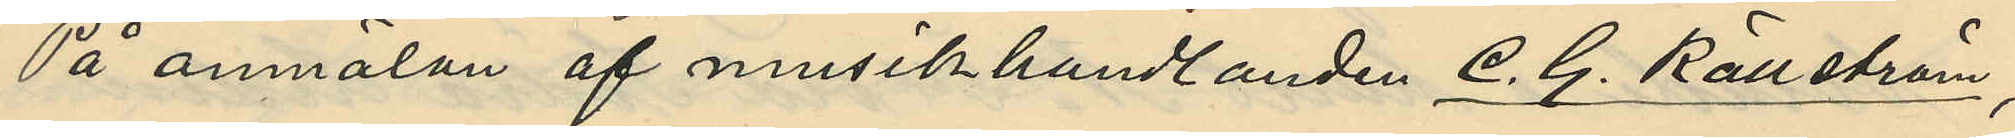På anmälan af musikhandlanden C. G. Källström,
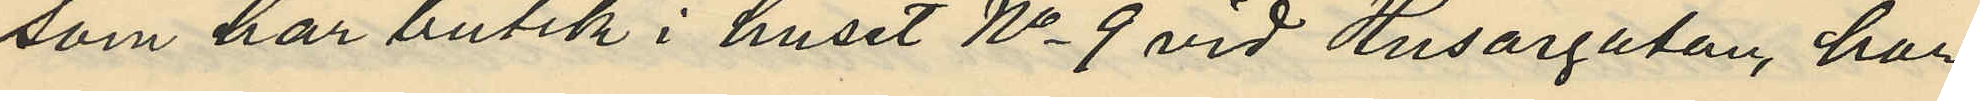som har butik i huset No 9 vid Husargatan, har
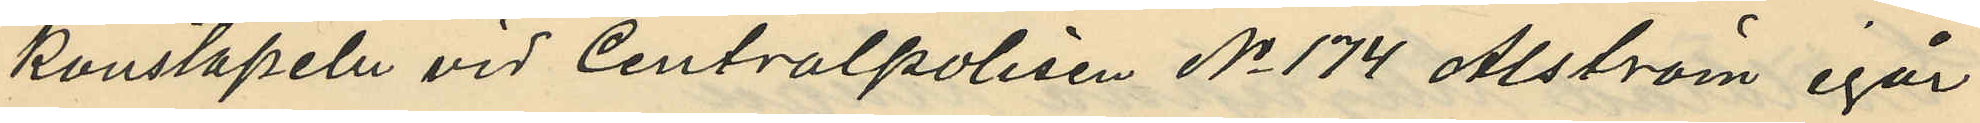konstapeln vid Centralpolisen No 174 Alström igår
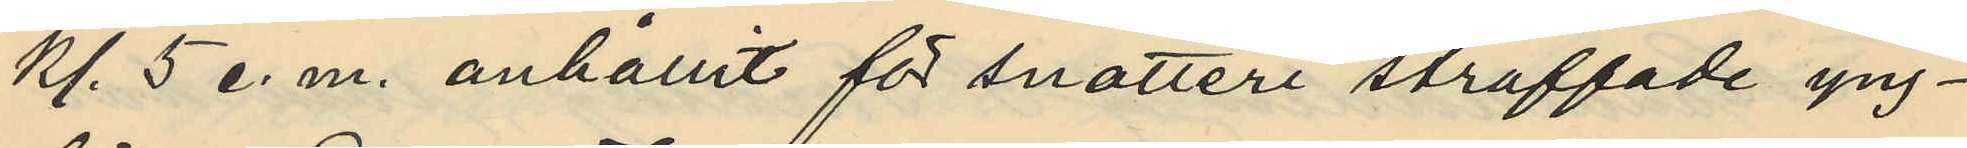kl. 5 e.m. anhållit för snatteri straffade yng¬
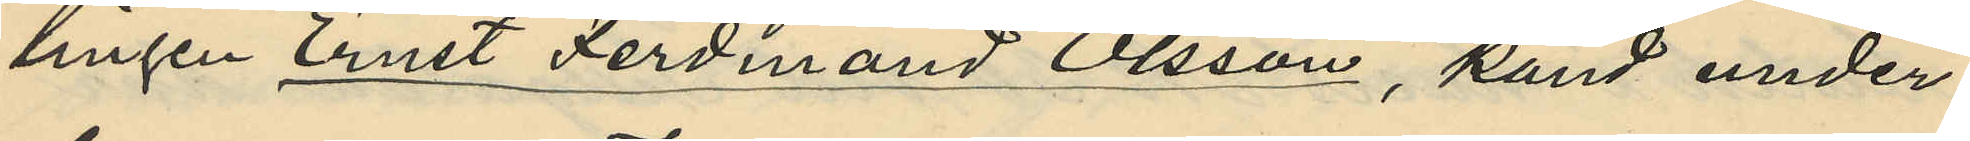lingen Ernst Ferdinand Olsson, känd under
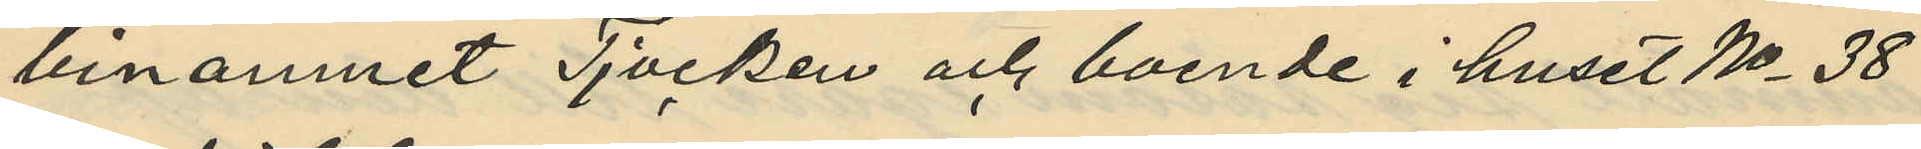binamnet Tjocken och boende i huset No 38
